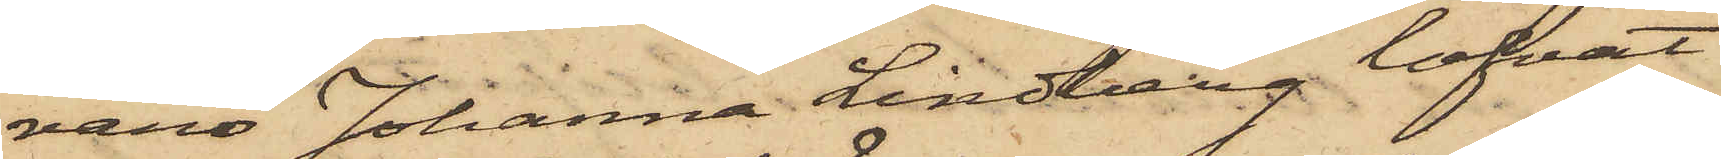varo Johanna Lindberg lofvat
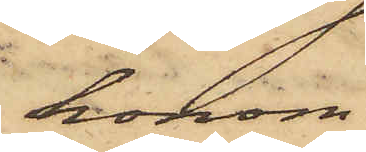honom
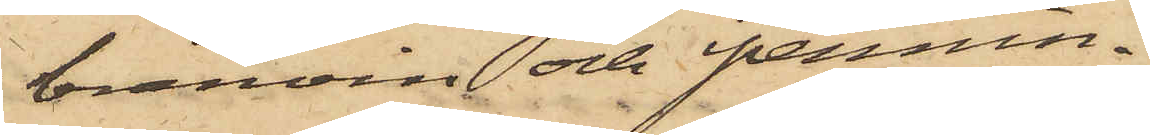bränvin och pennin¬
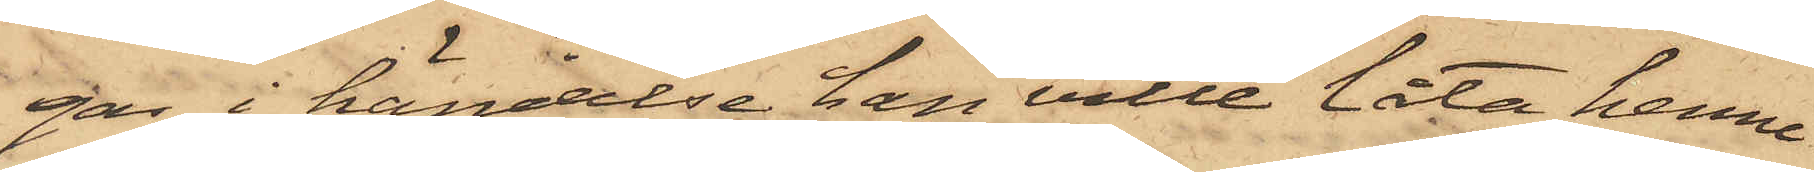gar, i händelse han ville låta henne
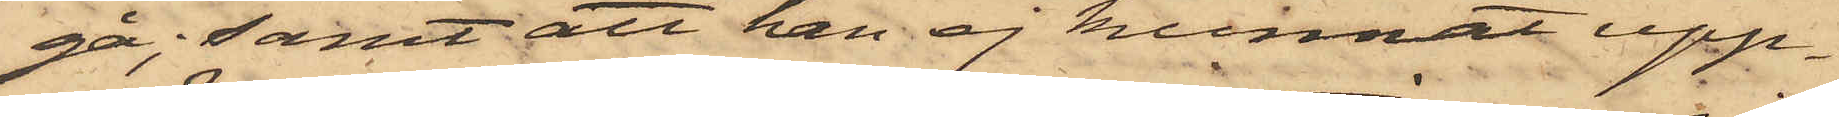gå; samt att han ej kunnat upp¬
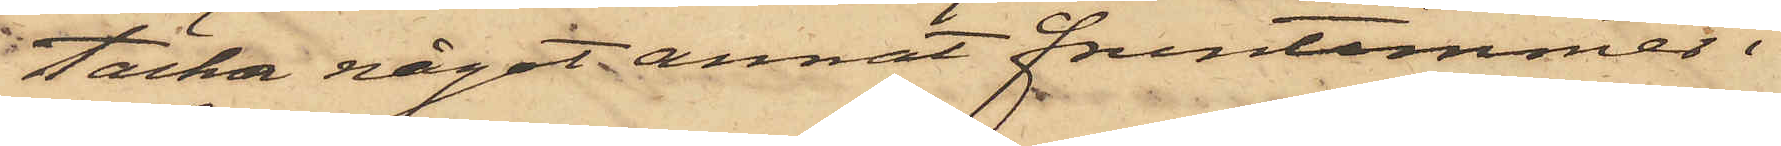täcka något annat fruntimmer i
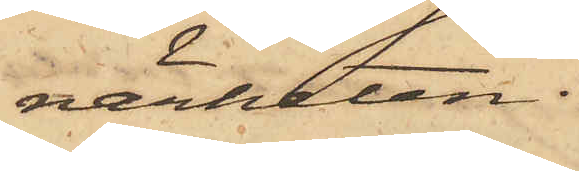närheten.
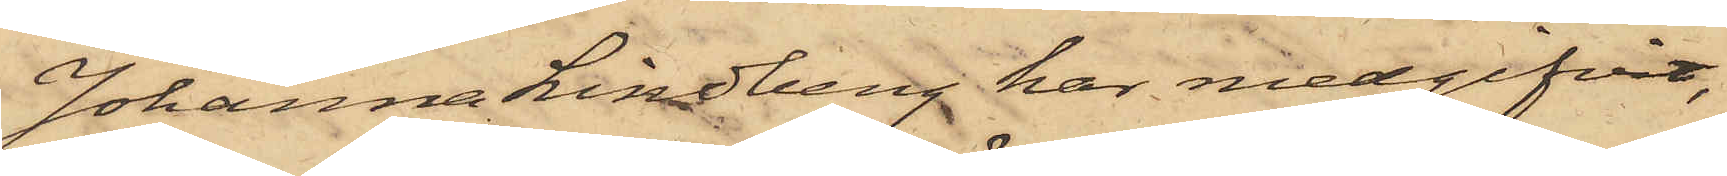Johanna Lindberg har medgifvit,
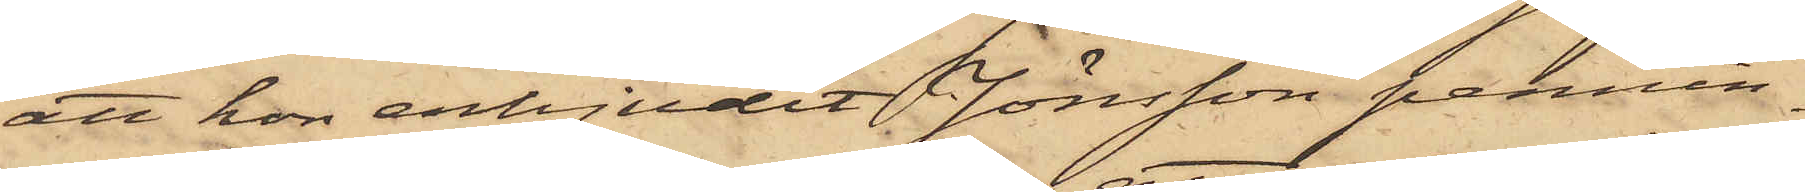att hon erbjudit Jönsson pennin¬
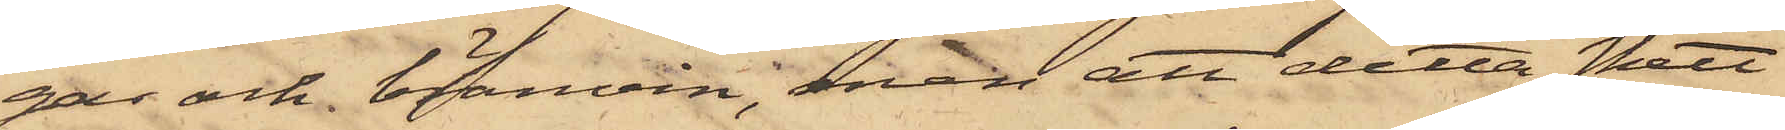gar och bränvin, men att detta skett
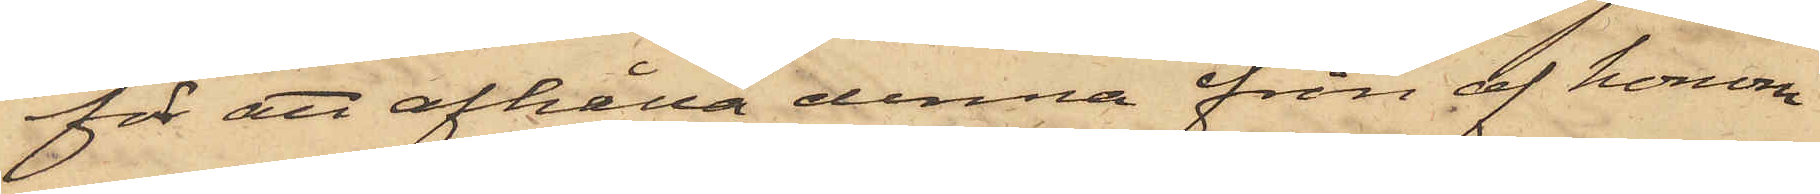för att afhålla denna från af honom
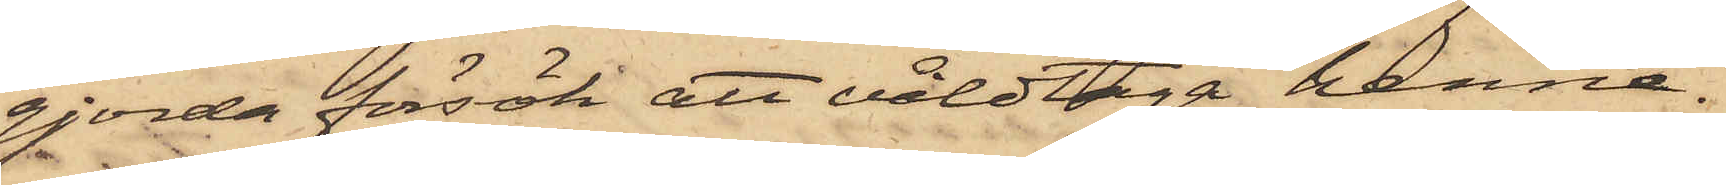gjorda försök att våldtaga henne.
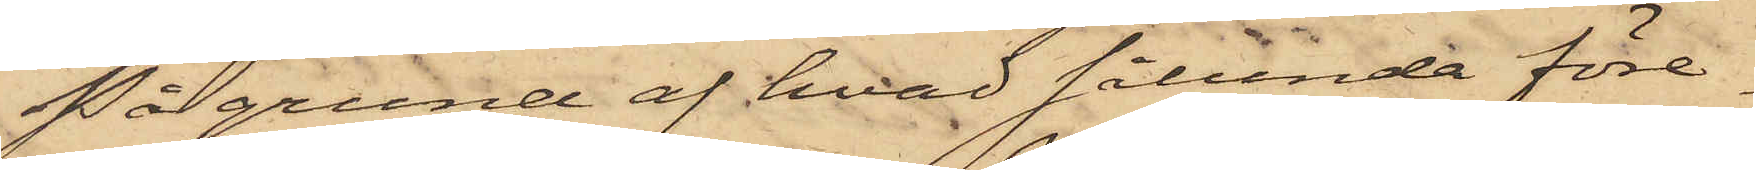På grund af hvad sålunda före¬
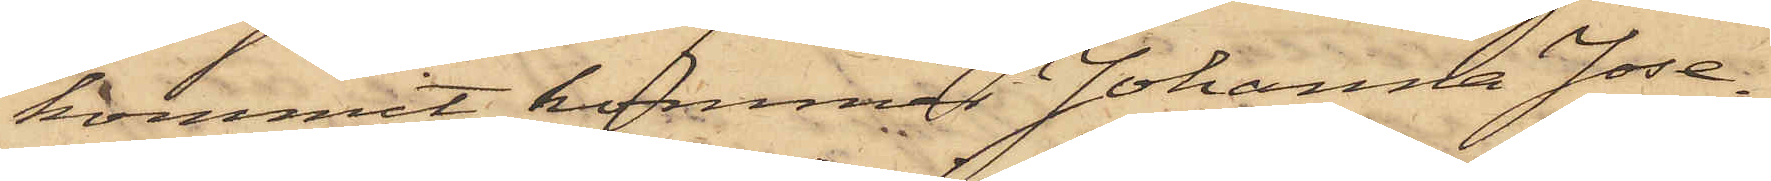kommit, kommer Johanna Jose¬
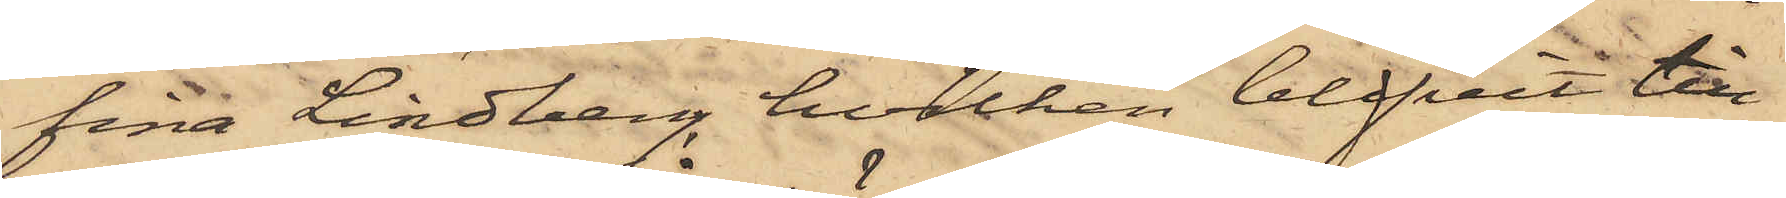fina Lindberg, hvilken blifvit till
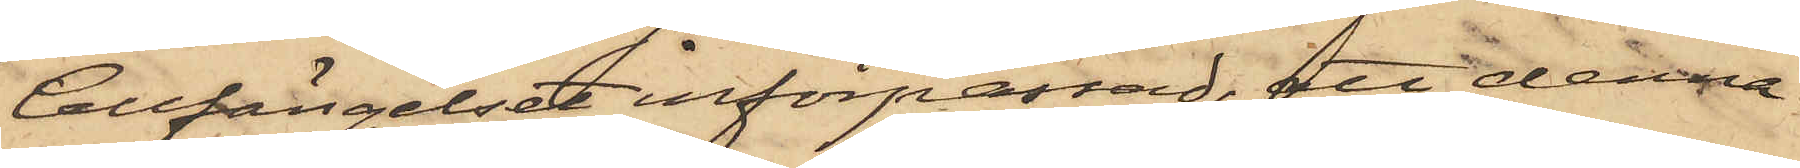Cellfängelset införpassad, att denna
